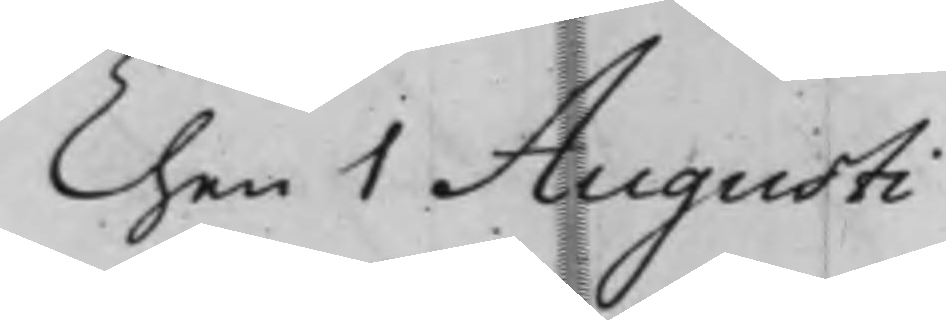Then 1 Augusti
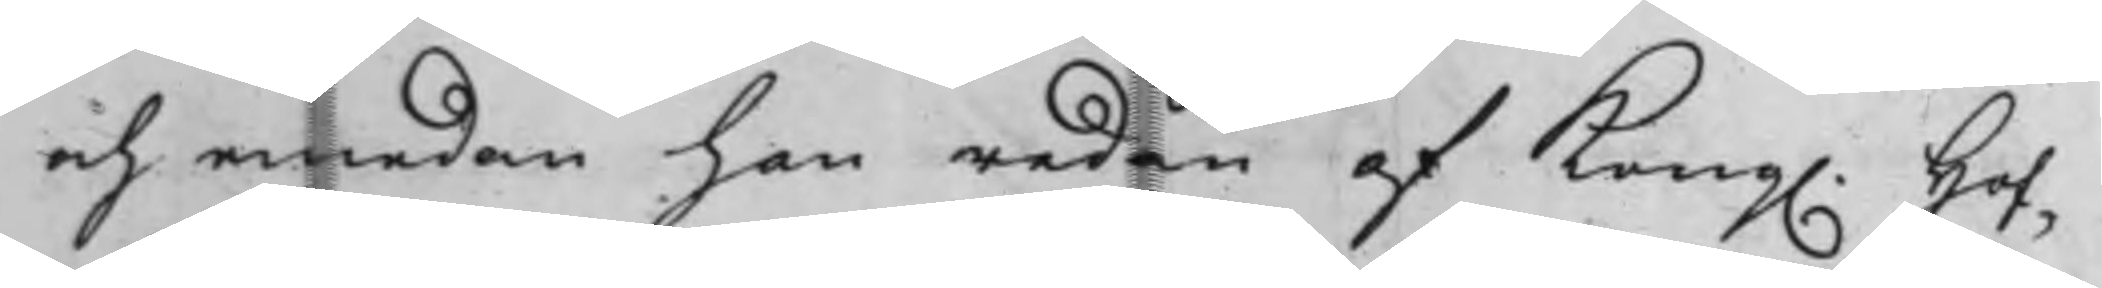och emedan han redan af Kong. Hof¬
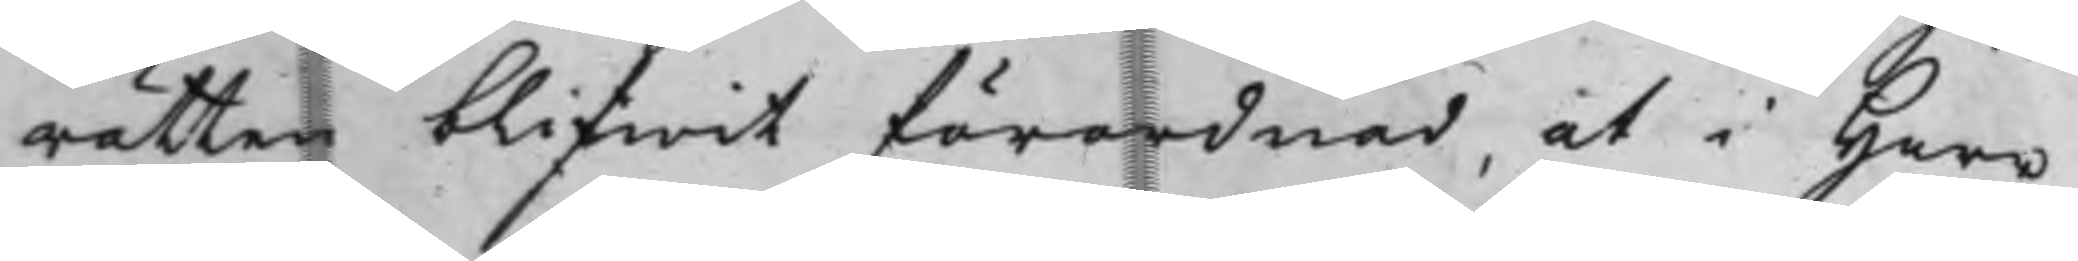rätten blifwit förordnad, at i Herr
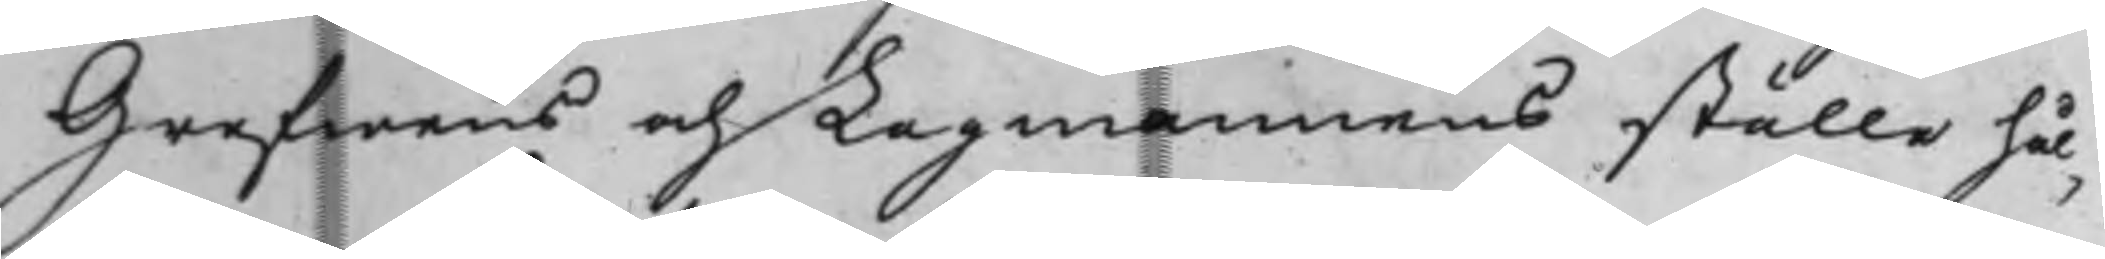Grefwens och Lagmannens ställe hål¬
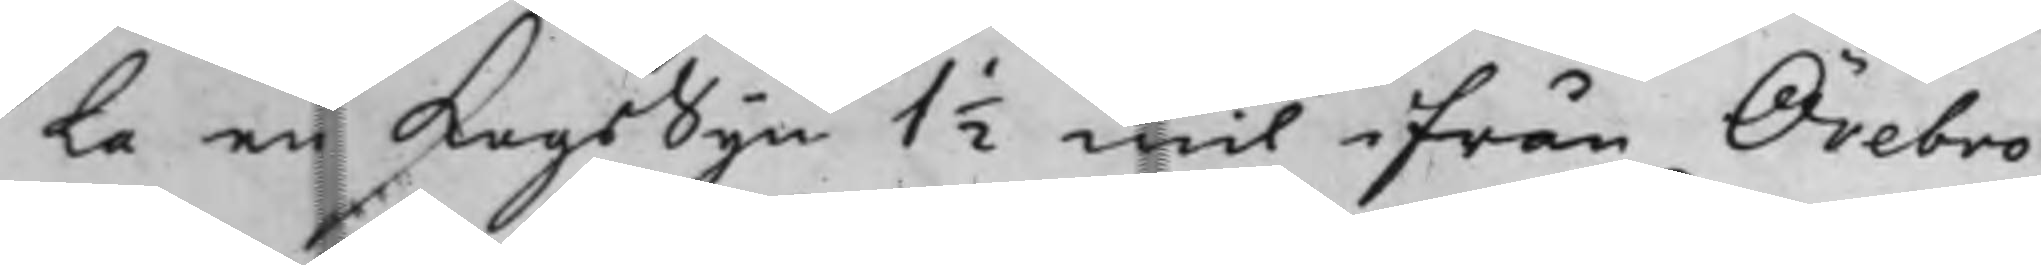la en LagsSyn 1 ½ mil ifrån Örebro
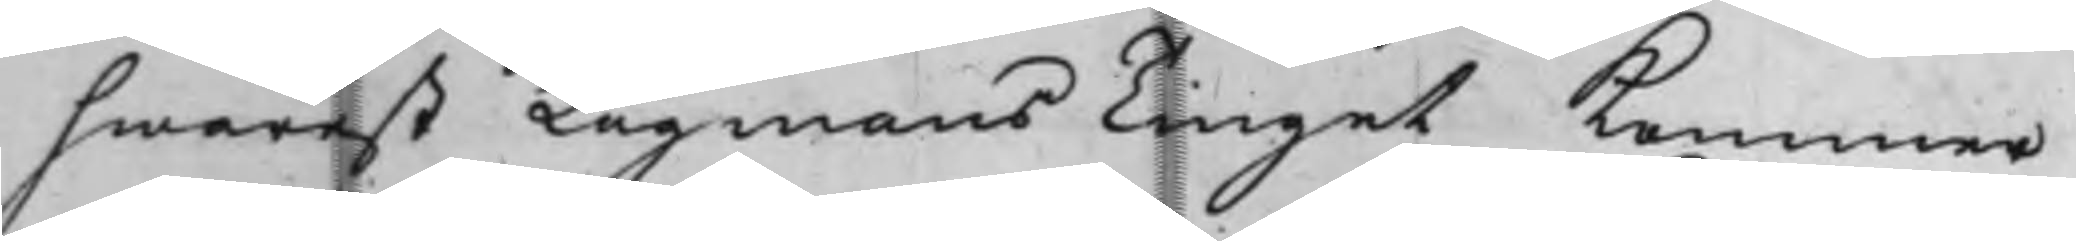hwarest LagmansTinget Kommer
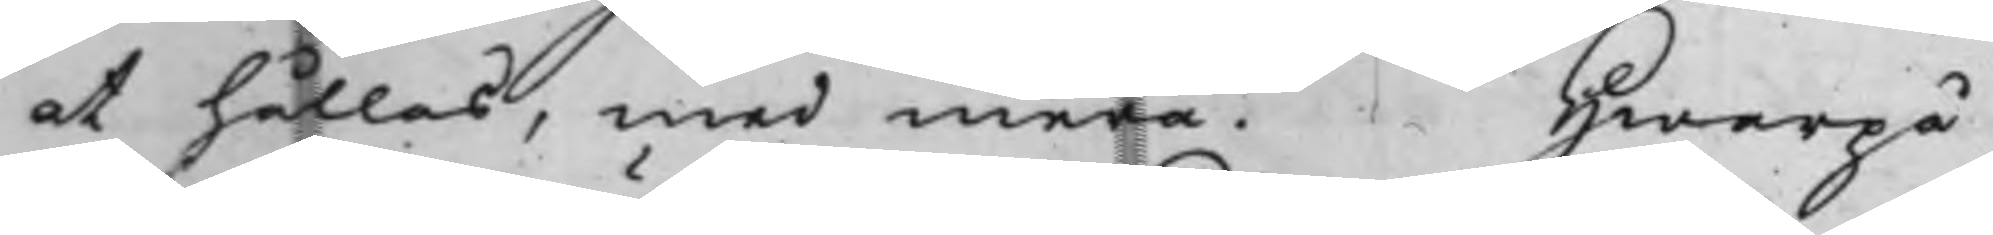at hållas, med mera. Hwarpå
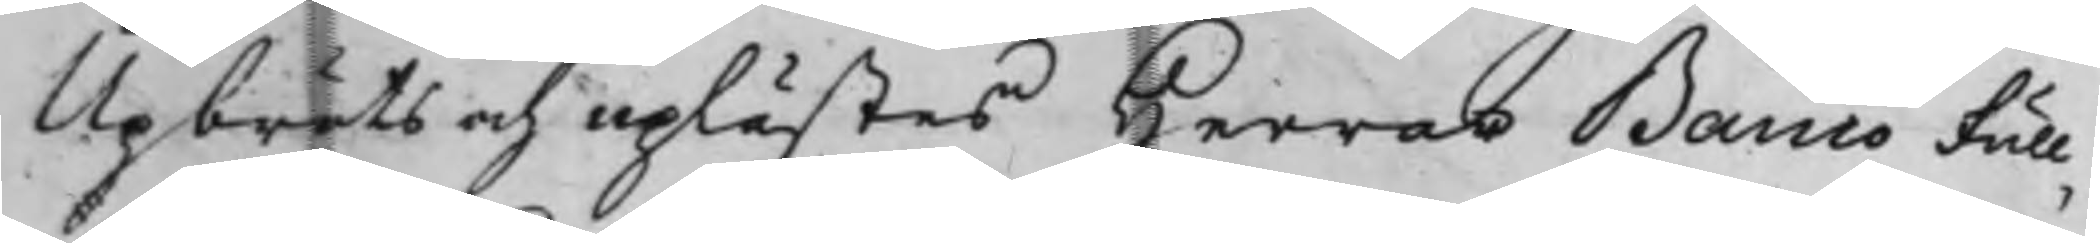Upbröts och uplästes Herrar Banco Full¬
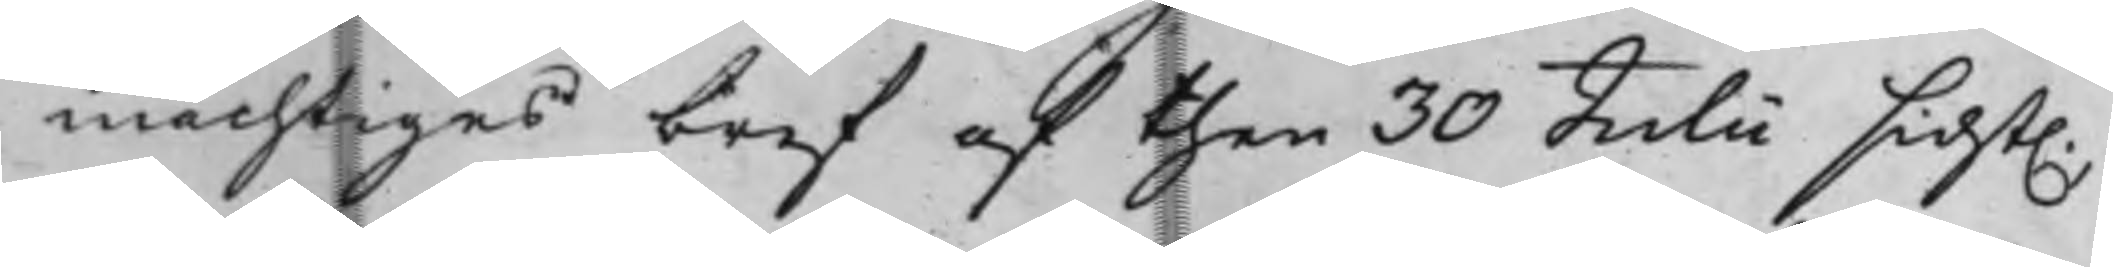mächtiges bref af then 30 Julii sidst.
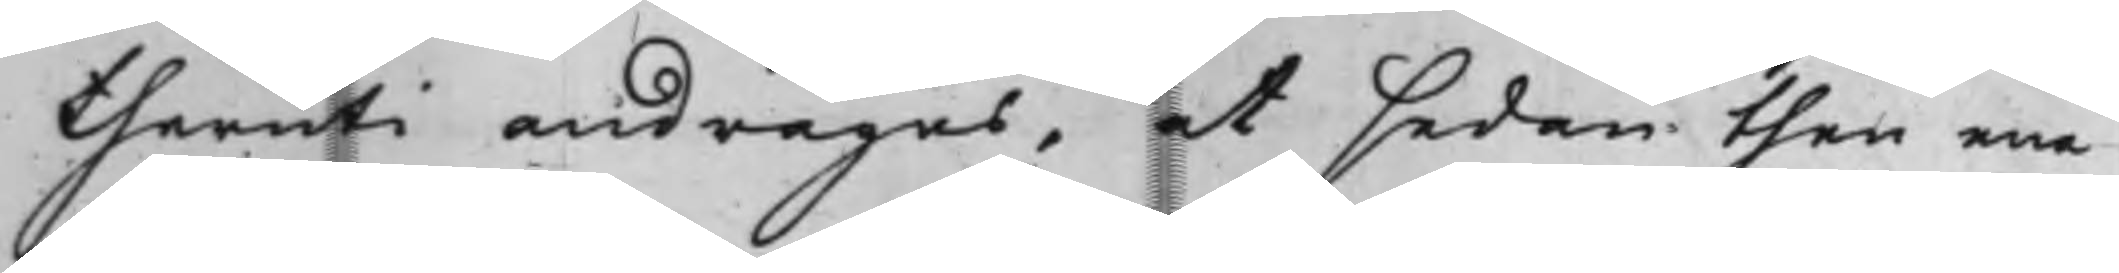theruti andrages, at sedan then ena
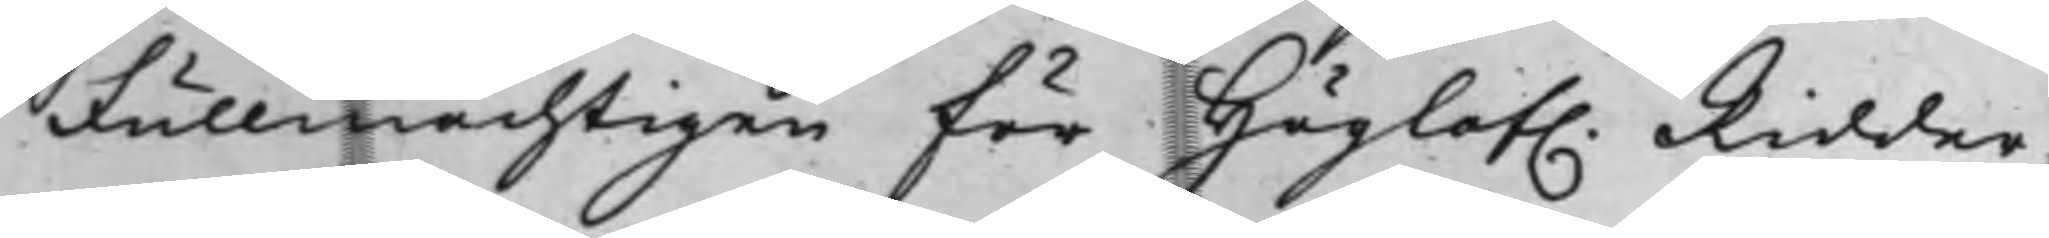Fullmächtigen för Höglof. Ridder¬
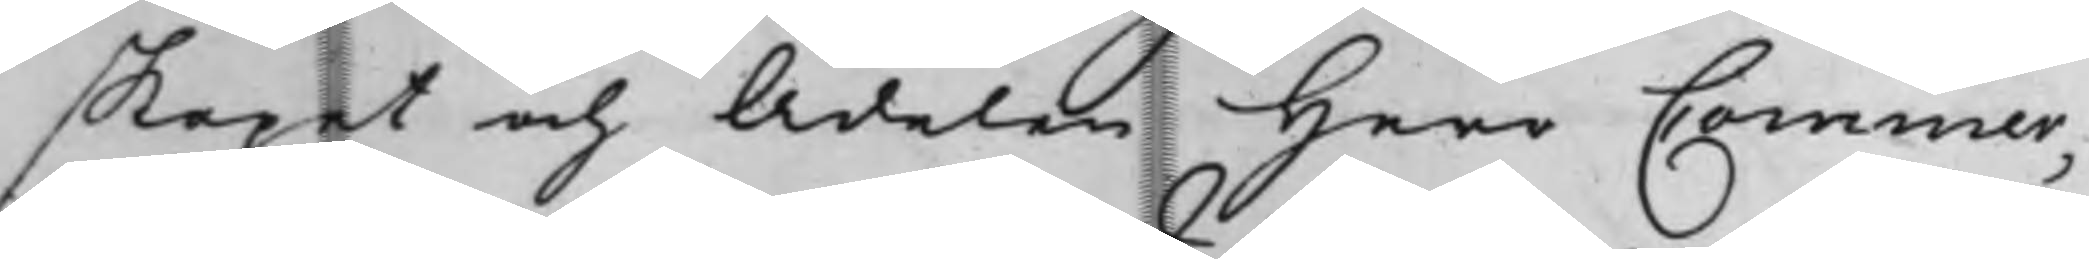skapet och Adelen Herr Commer¬
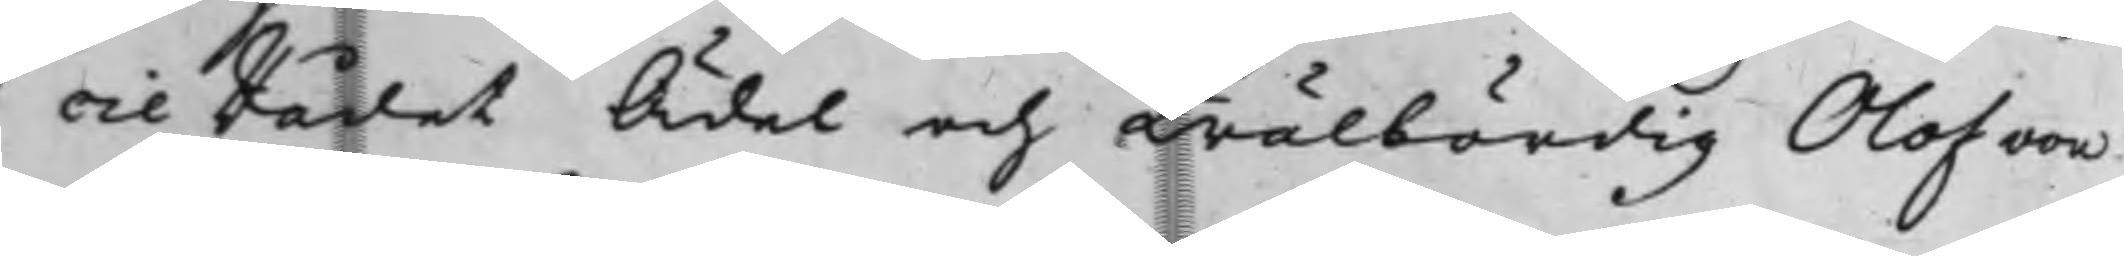cieRådet Ädel och Wälbördig Olof von
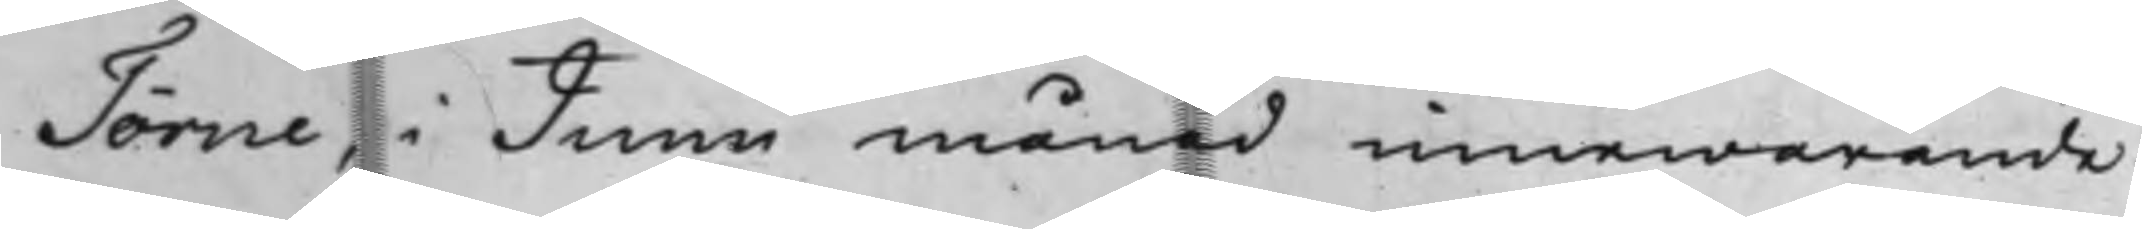Törne, i Junii månad innewarande
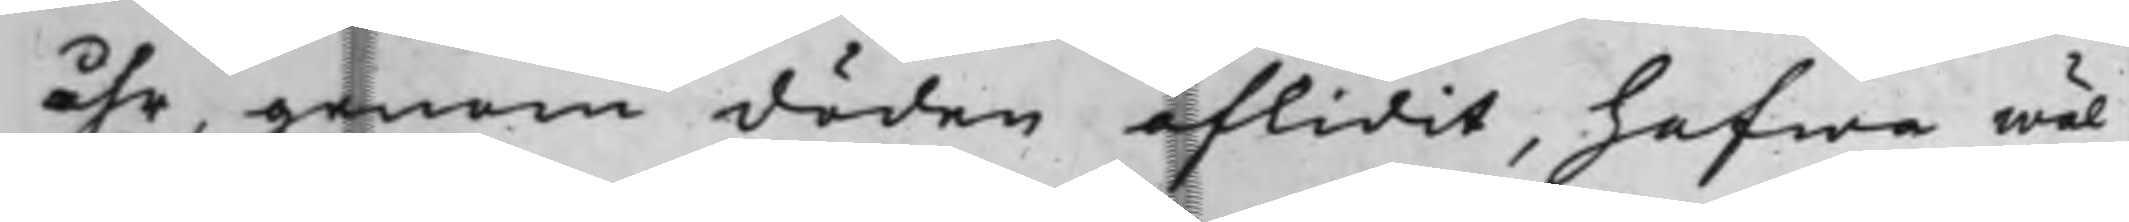åhr, genom döden aflidit, hafwa wäl
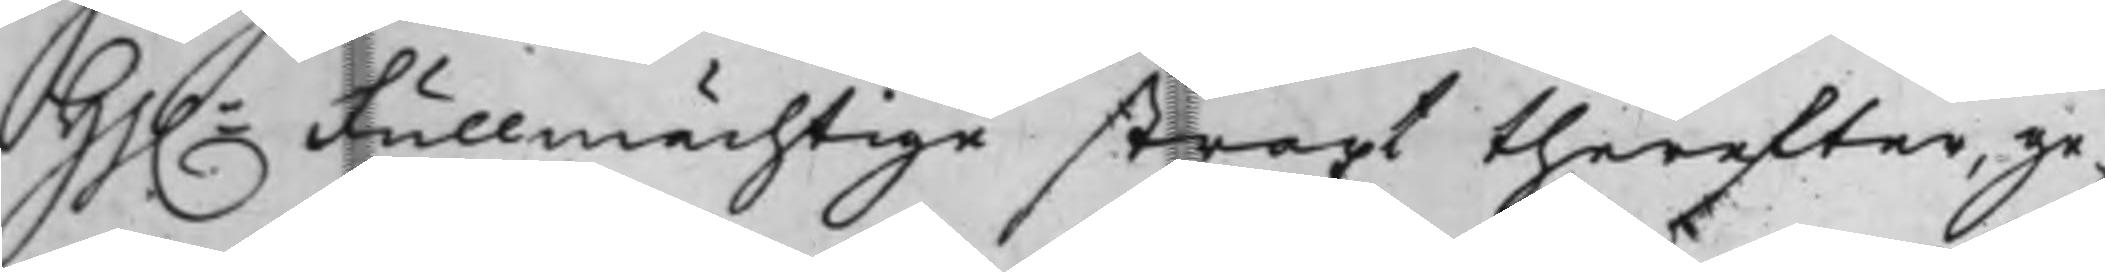Hh. Fullmächtige straxt therefter, ge¬
